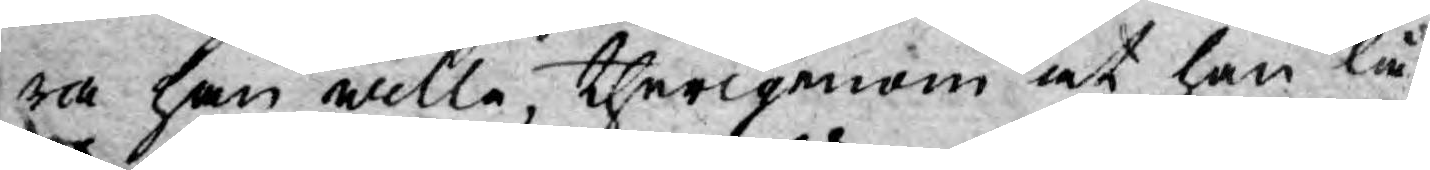ra han wille, therigenom at han lå¬
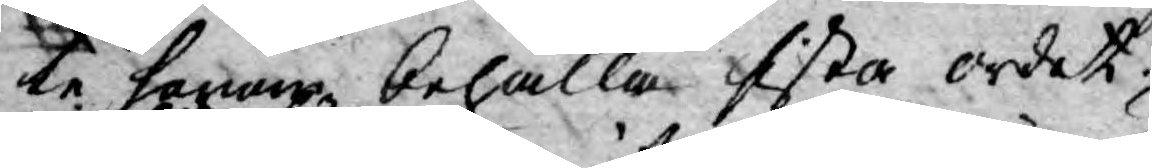te honom, behålla sista ordet:
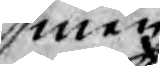men
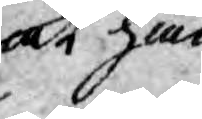at han
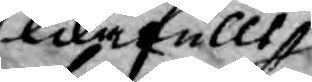likafullt
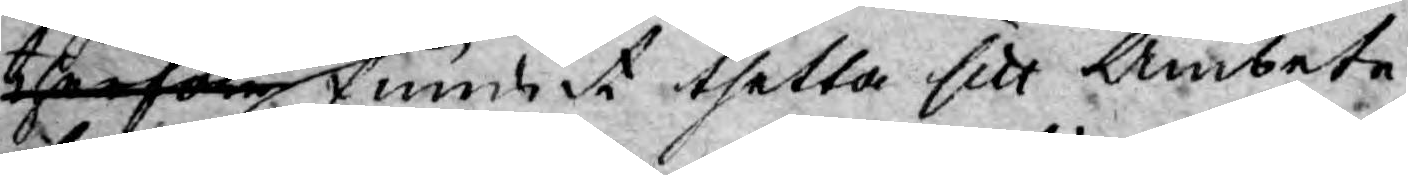thersom funnit thetta sitt Ämbete
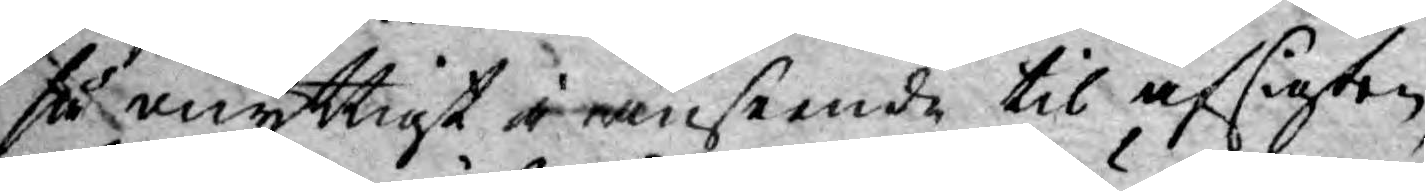så onyttigt i anseende til afsigten,
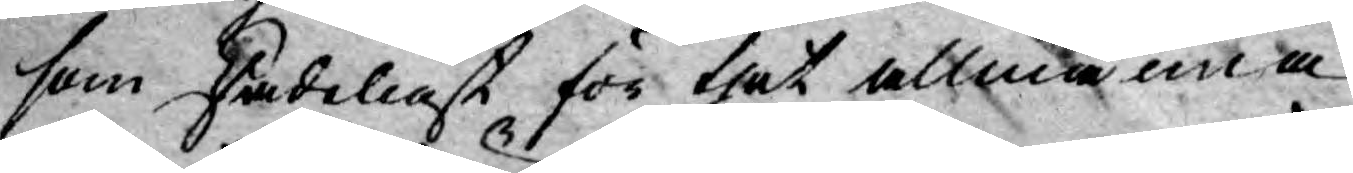som skadeligt för thet allmänna
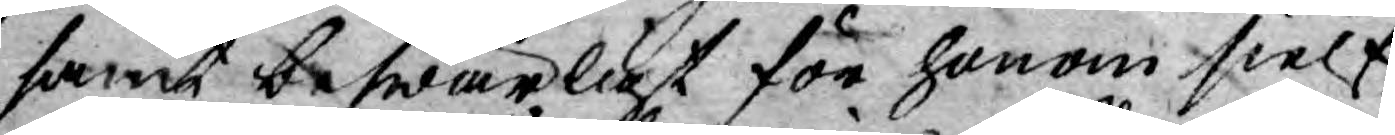samt beswärligt för honom sielf:
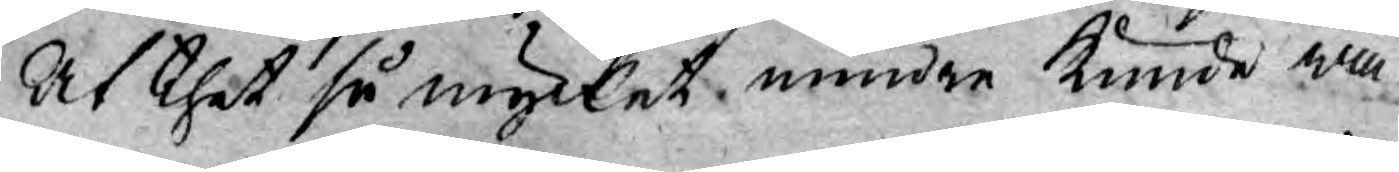At thet så mycket mindre kunde wa¬
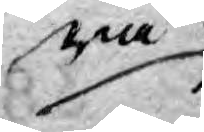ra
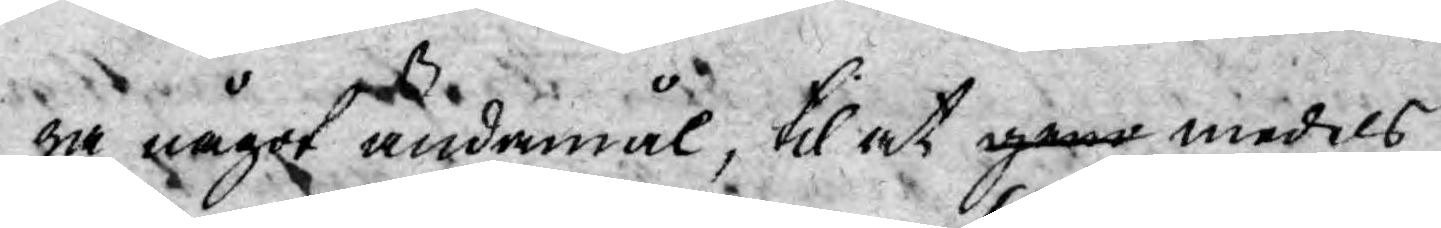ra något ändamål, til at geno medels
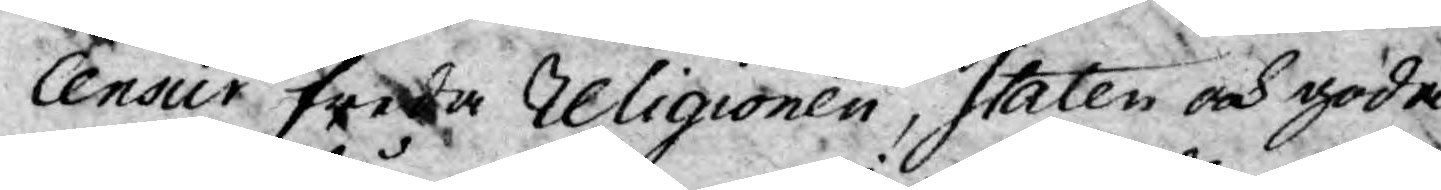Censur freda Religionen, Staten och goda
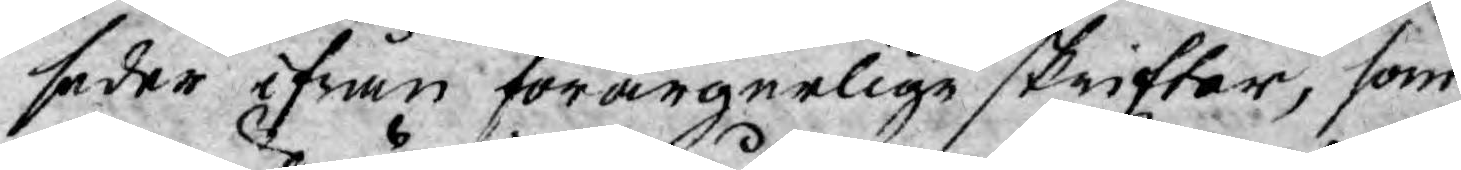seder ifrån förargerlige skrifter, som
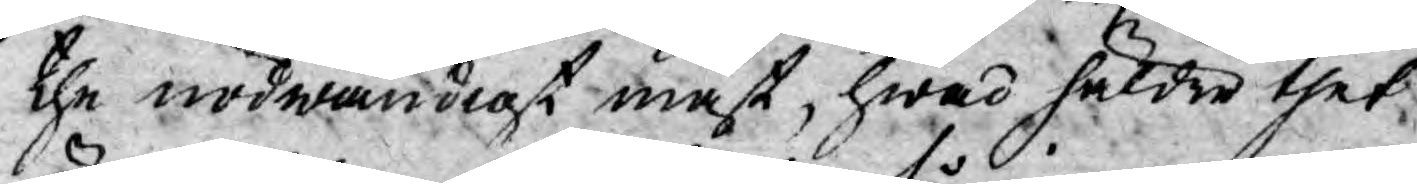the nödwändigt måst, hwad häldre thet
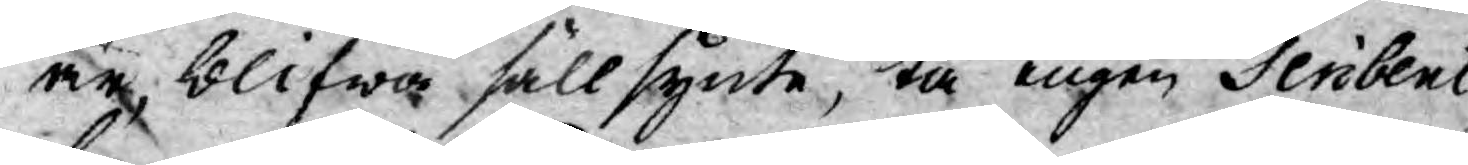är, blifwa sällsynte, tå ingen Scribent,
